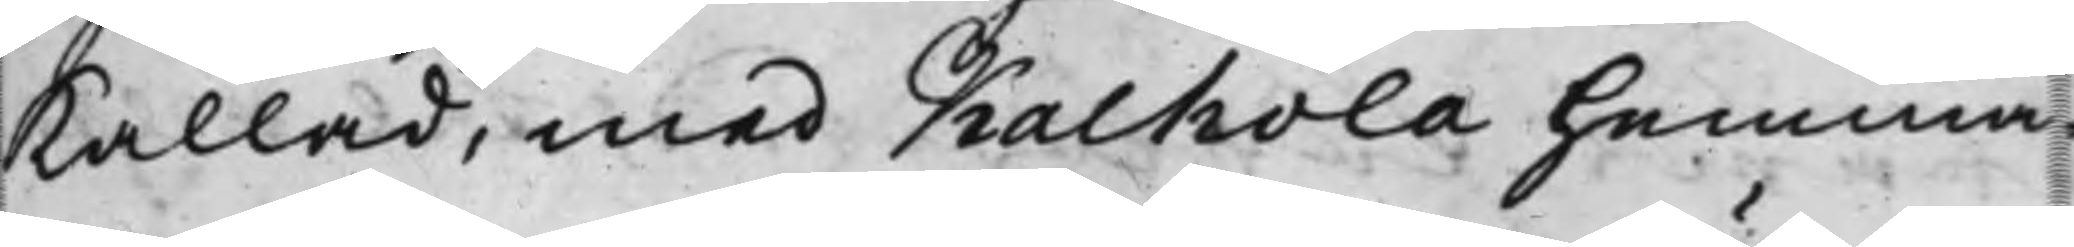kallad, med Kalhola Hemma¬
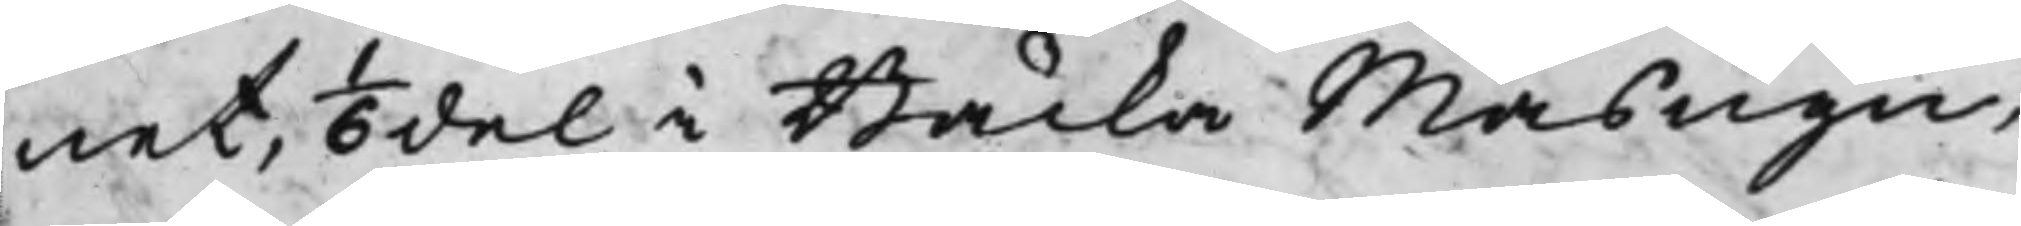net, 1/6del i Bäcka Masugn,
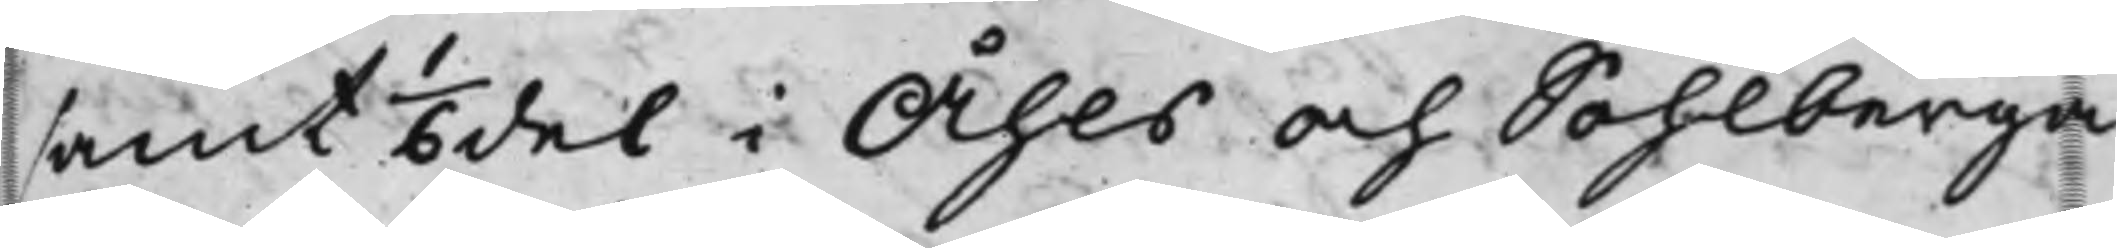samt 1/6del i Åhls och Sohlberga
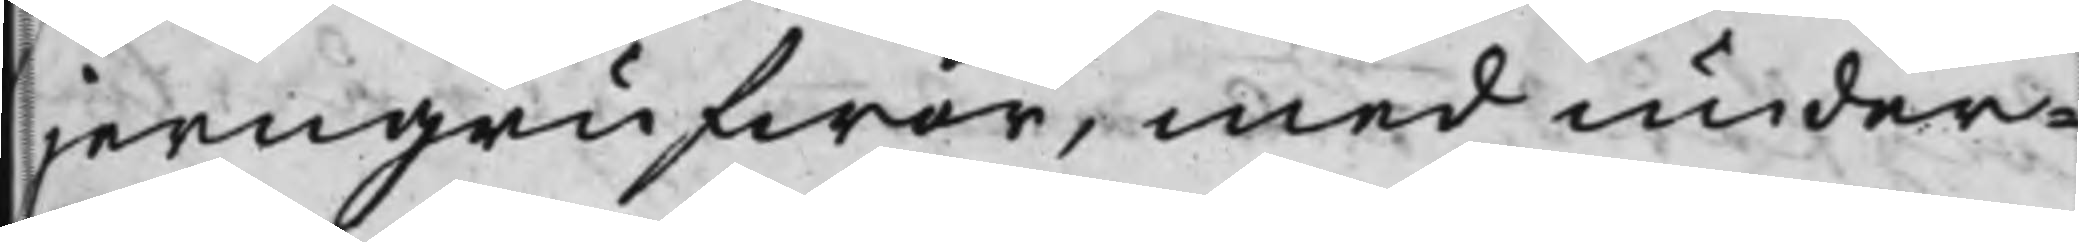jerngrufwor, med under¬
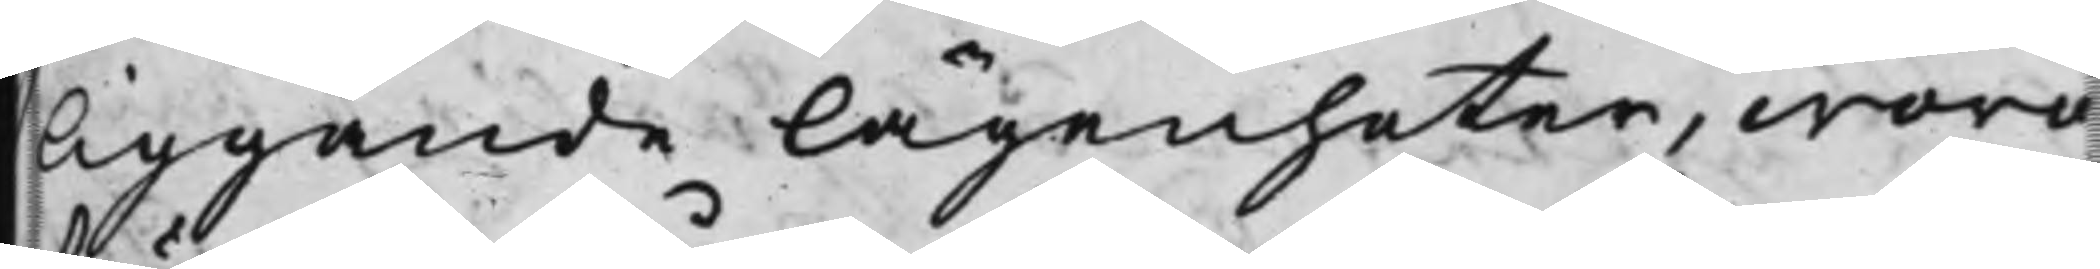liggande lägenheter, woro
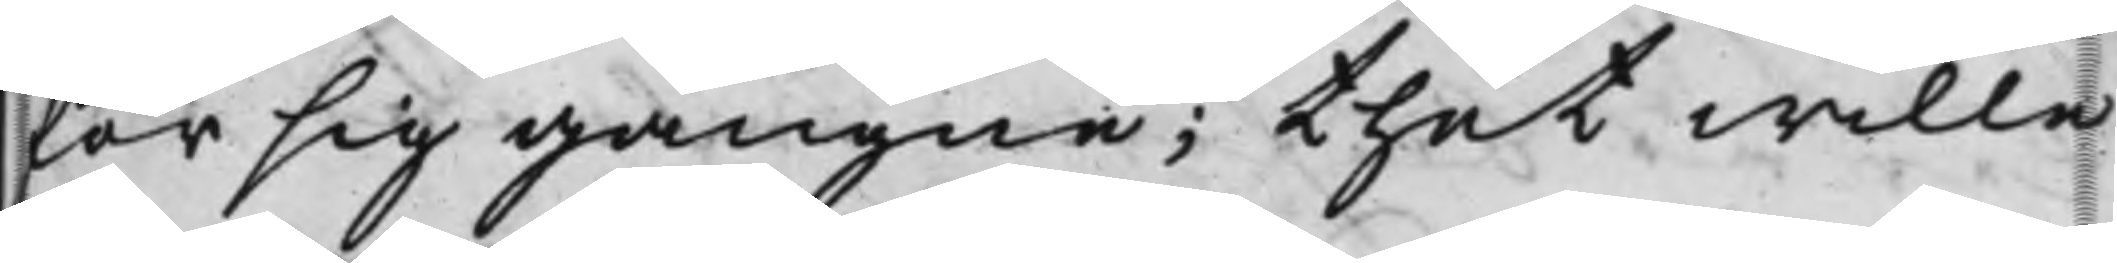för sig gångne; thet wille
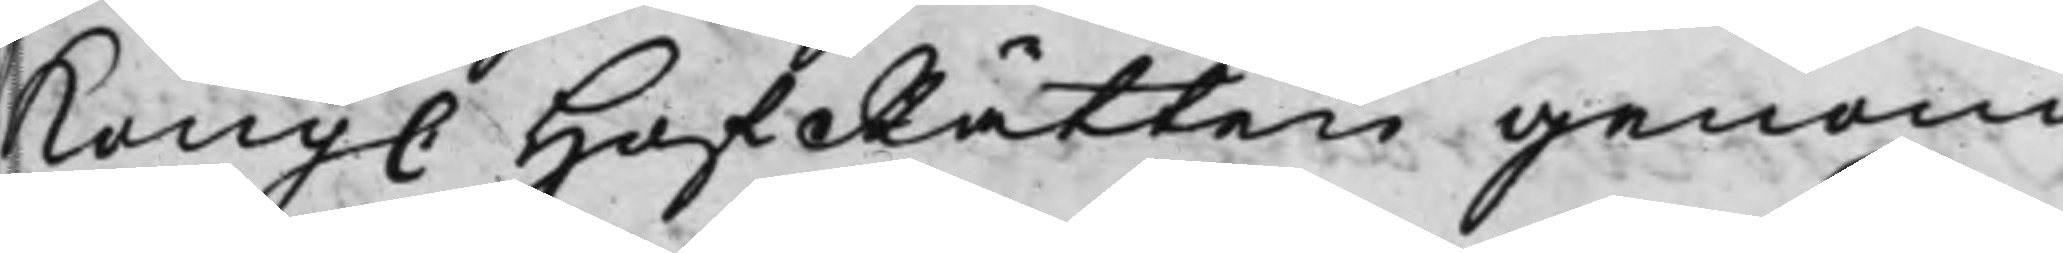Kong. HofRätten genom
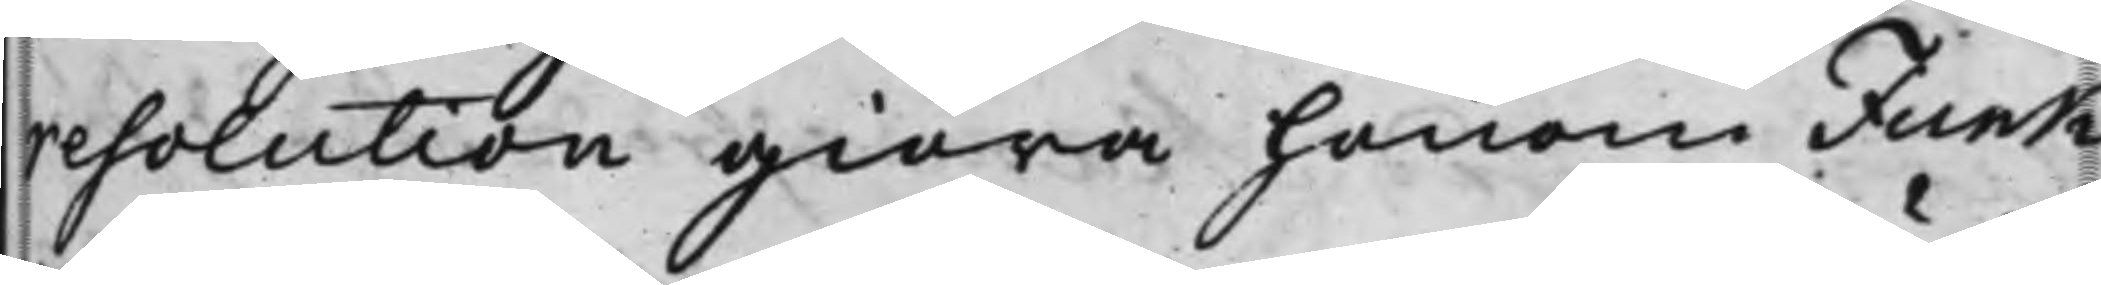resolution giöra honom Funk
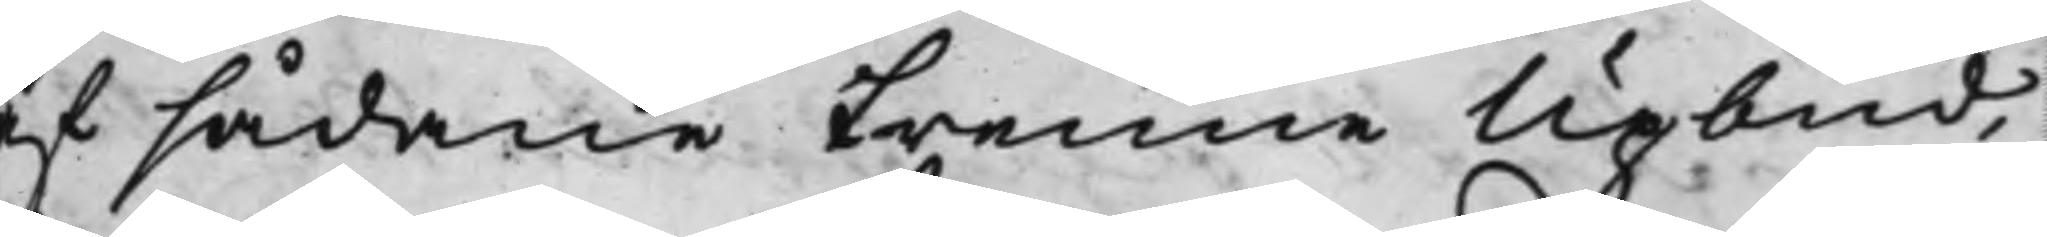af sådane trenne Upbud,
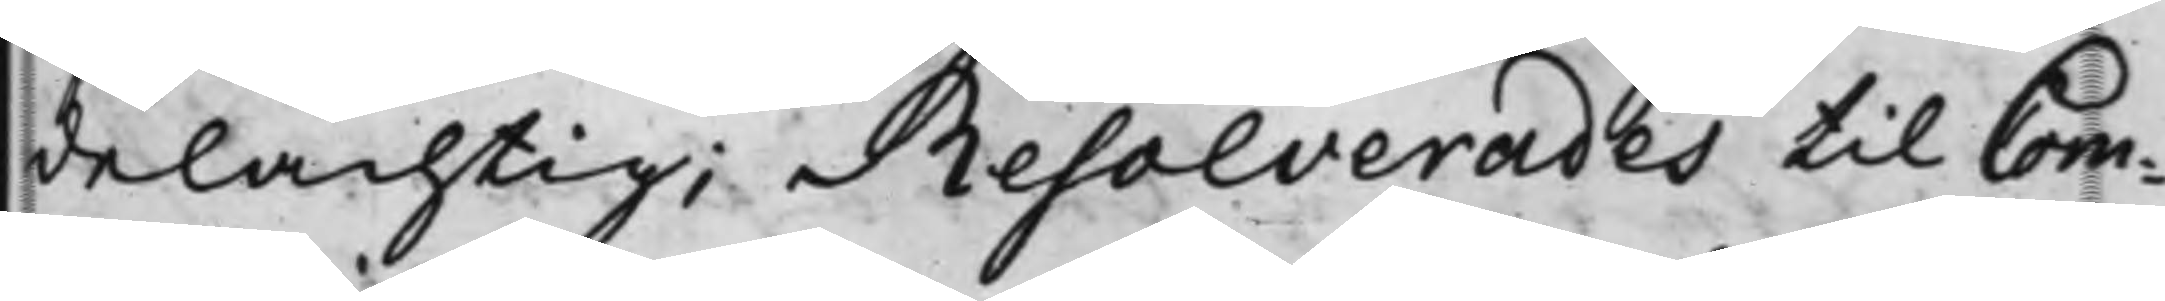delachtig; Resolverades till Com¬
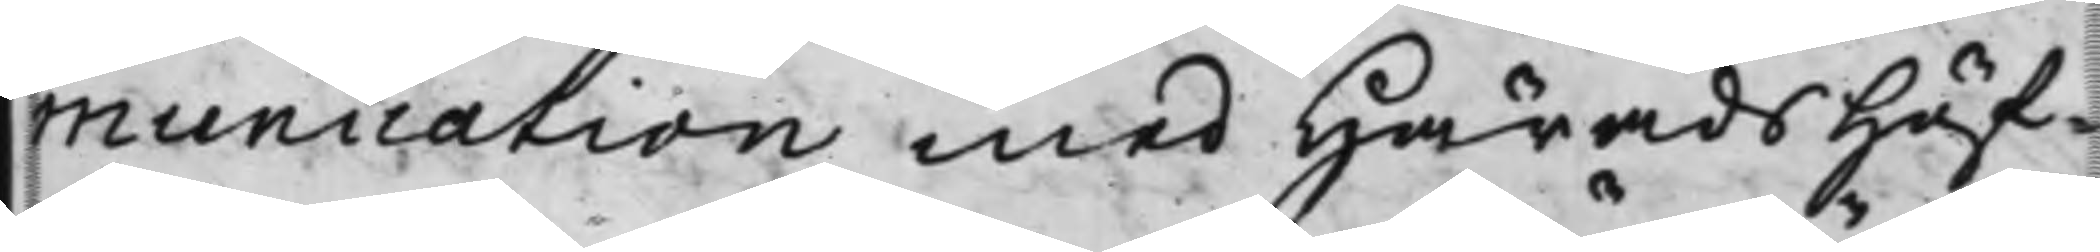munication med HäradsHöf¬
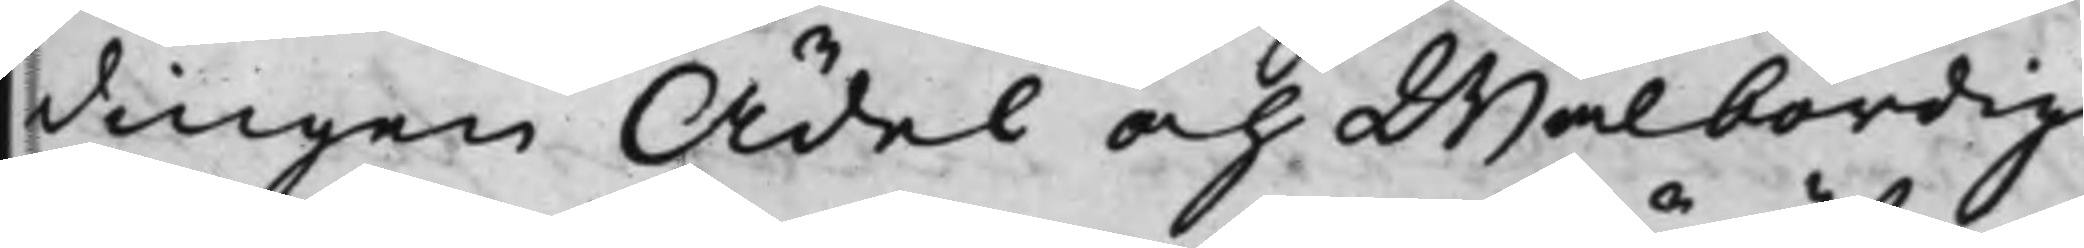dingen Ädel och Wälbördig
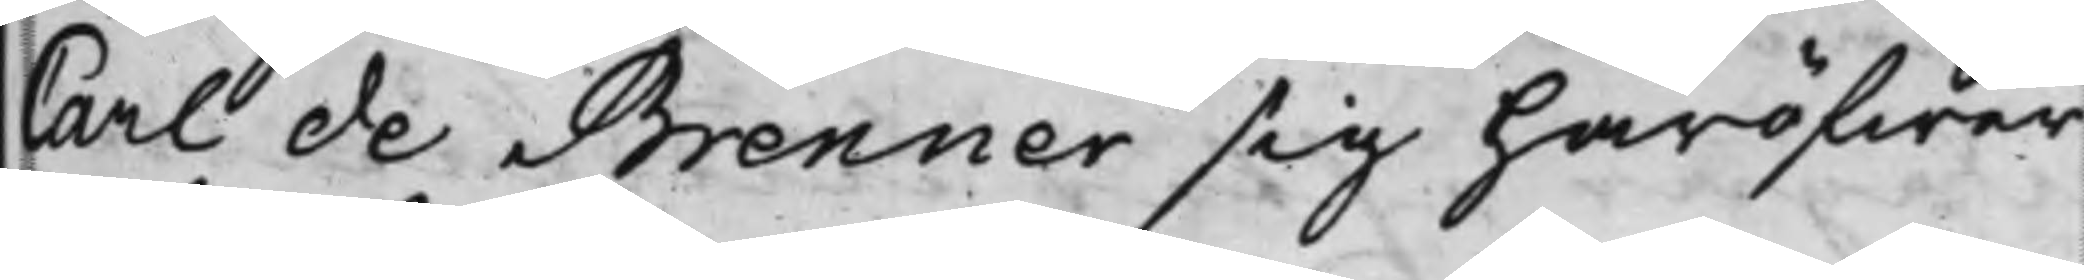Carl de Brenner sig häröfwer
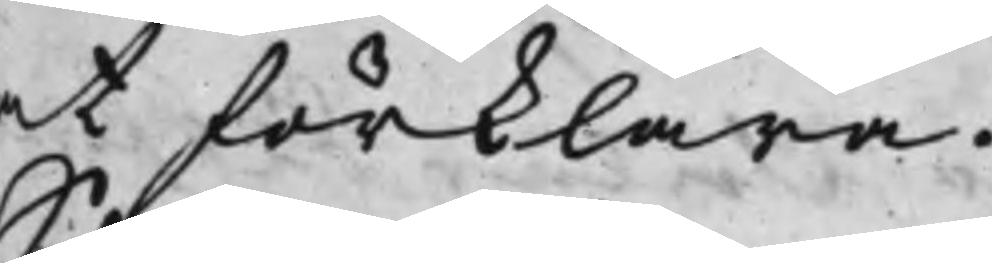at förklara.
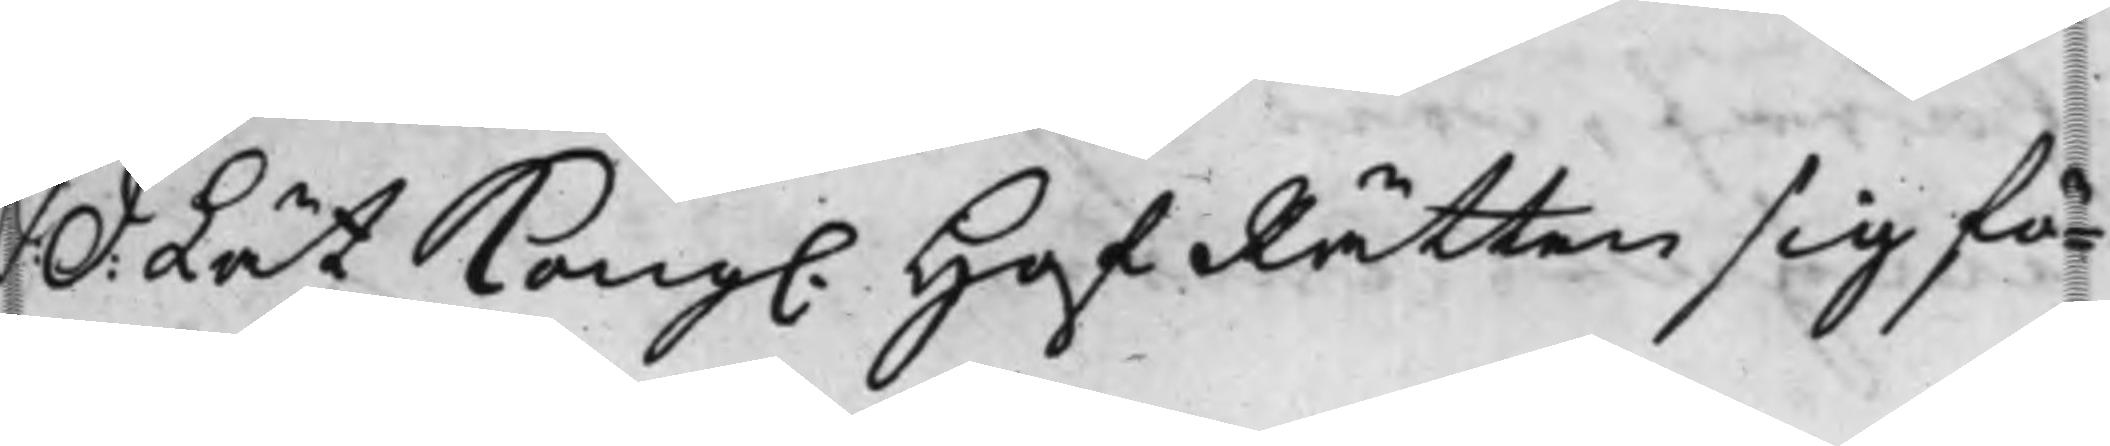S:d: Lät Kong. HofRätten sig fö¬
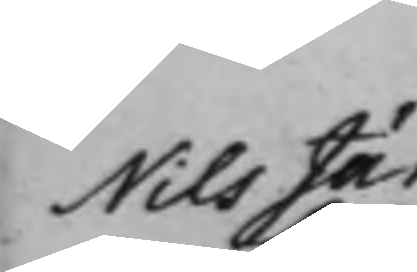Nils Järling
